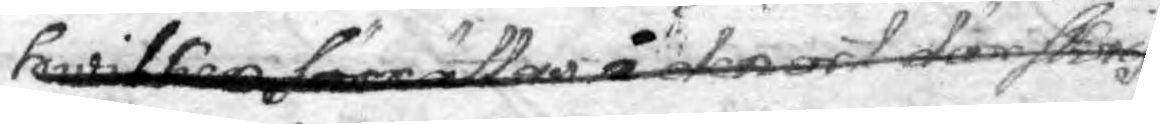hwilken förrättas i den ort där skrif¬
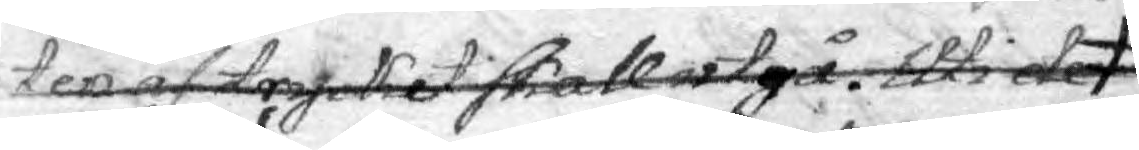ten af trycket skall utgå. Uti de
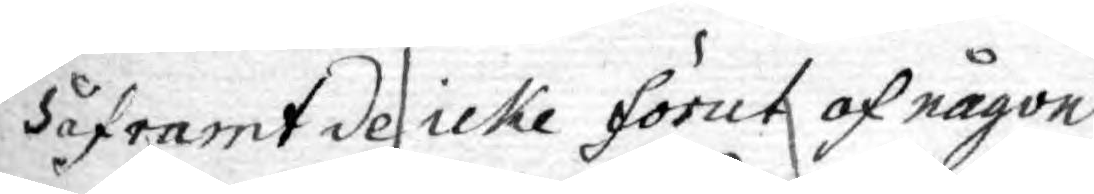Såframt de icke förut af någon
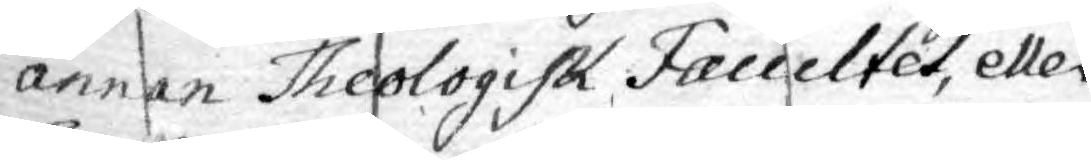annan Theologisk Faccultet, eller
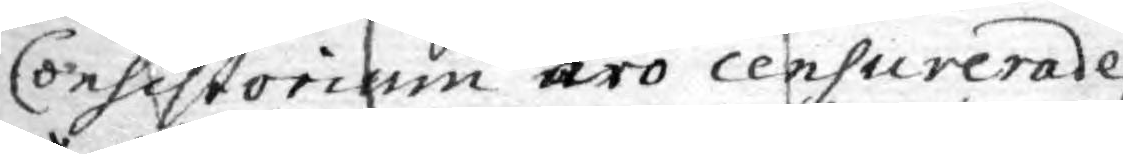Consistorium äro censurerade
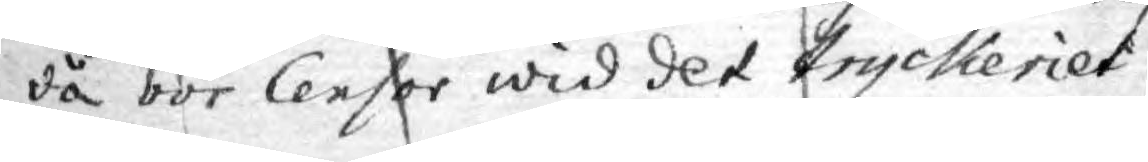da bör Censor wid det tryckeriet
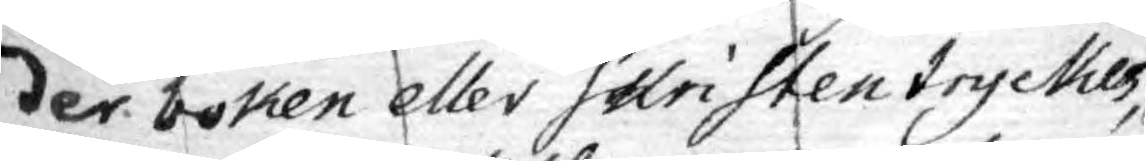der boken eller skriften tryckes,
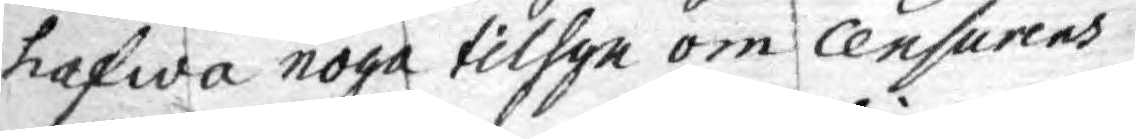hafwa noga tilsyn om censurens
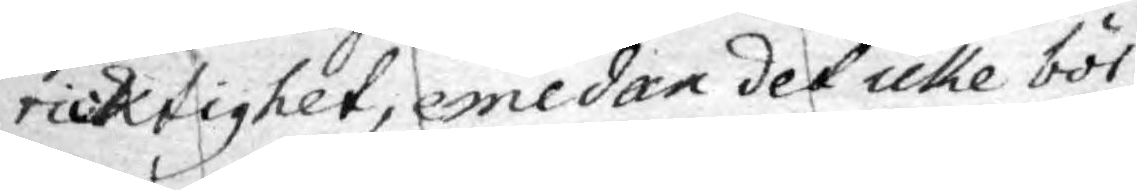ricktighet, emedan det icke bör
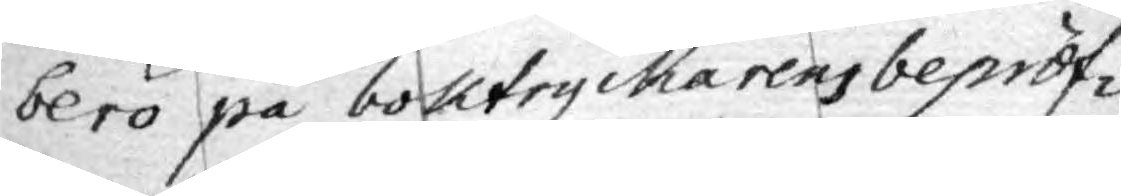bero på boktryckarens bepröf¬
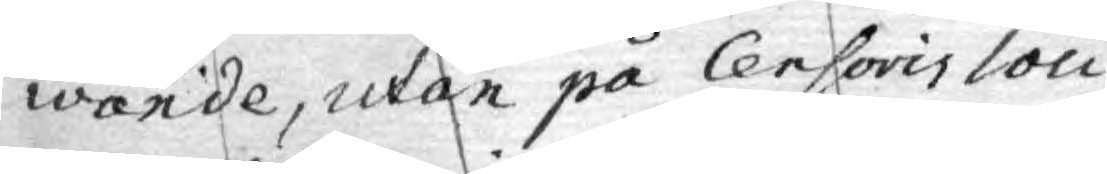wande, utan på Censoris loci
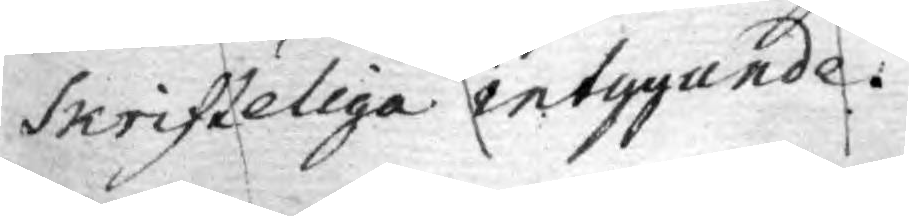skrifteliga intrygande.
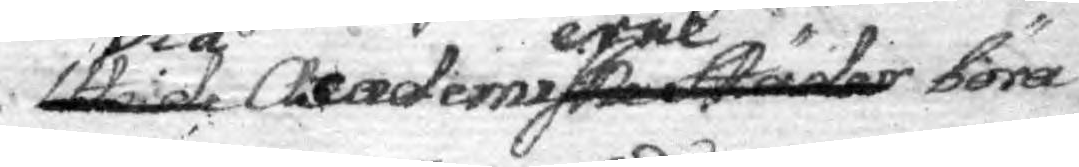Uti de Vid Academierneske städer böra
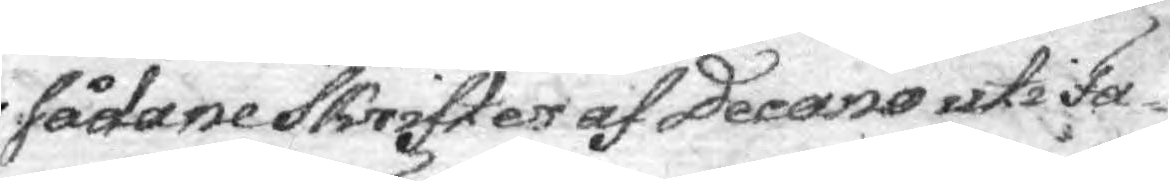sådane Skrifer af decano uti Fa¬
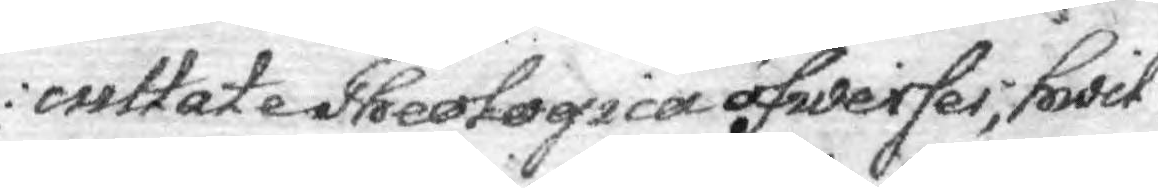cultate Theologica öfwerses; hwil—
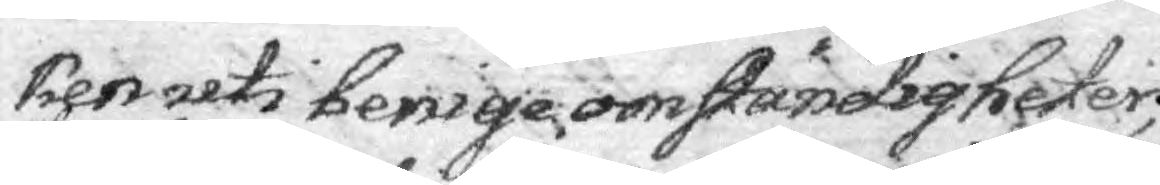ken uti benige omständigheter;
